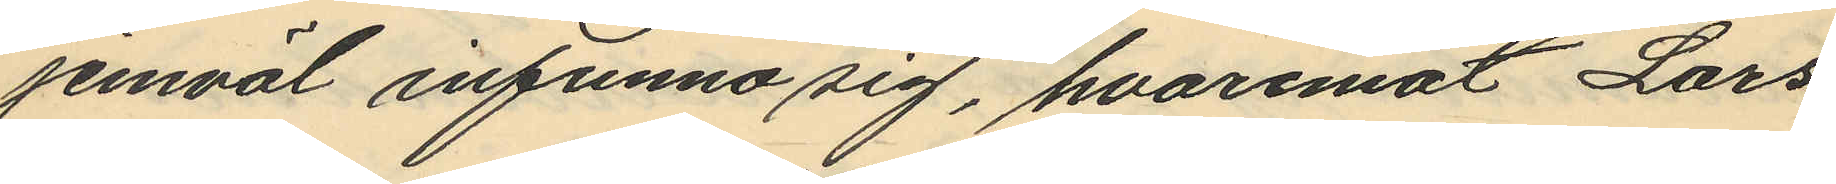jemväl infunna sig, hvaremot Lars¬
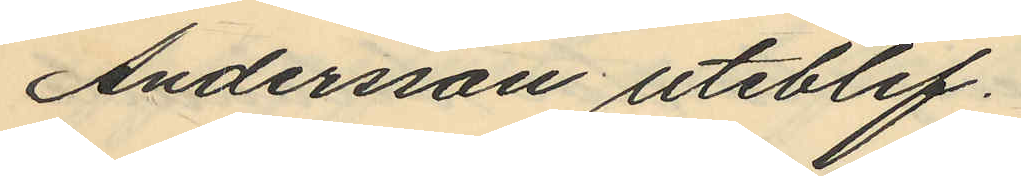Andersson uteblef.
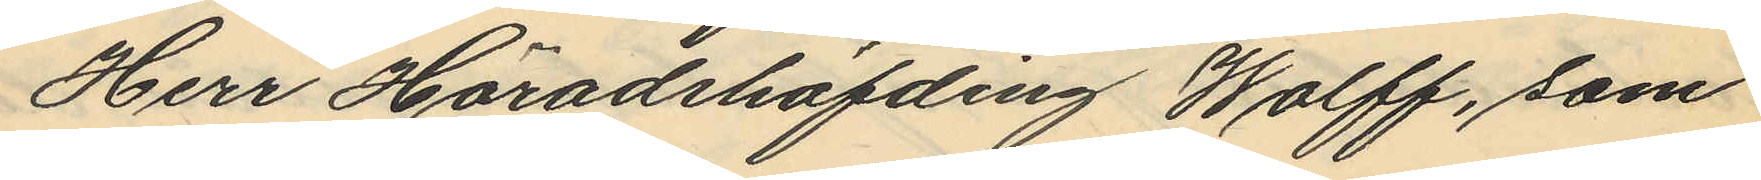Herr Häradshöfding Wolff, som
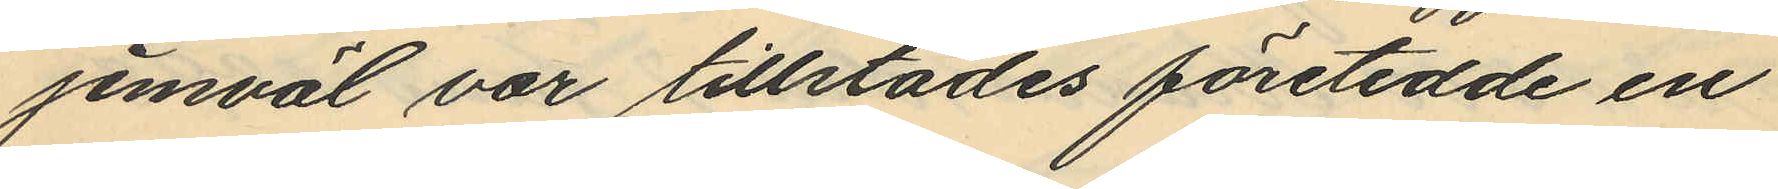jemväl var tillstädes företedde en
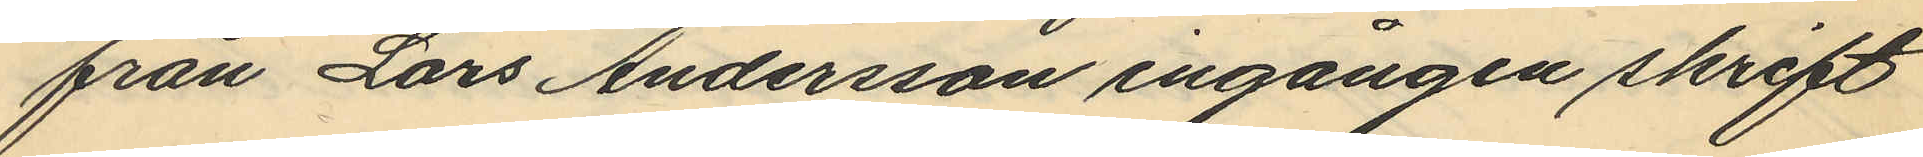från Lars Andersson ingången skrift
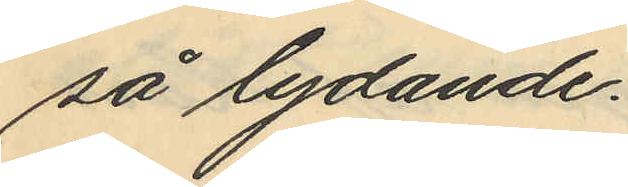så lydande.
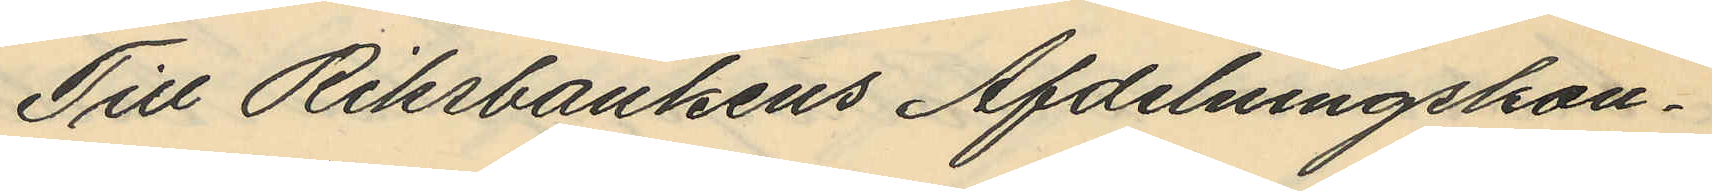Till Riksbankens Afdelningskon¬
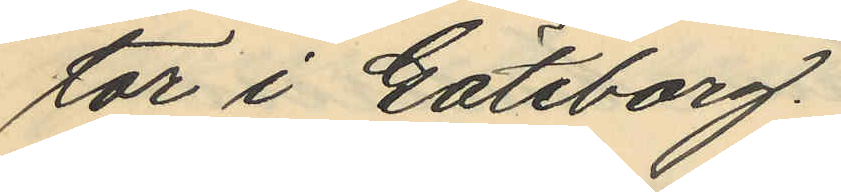tor i Göteborg.
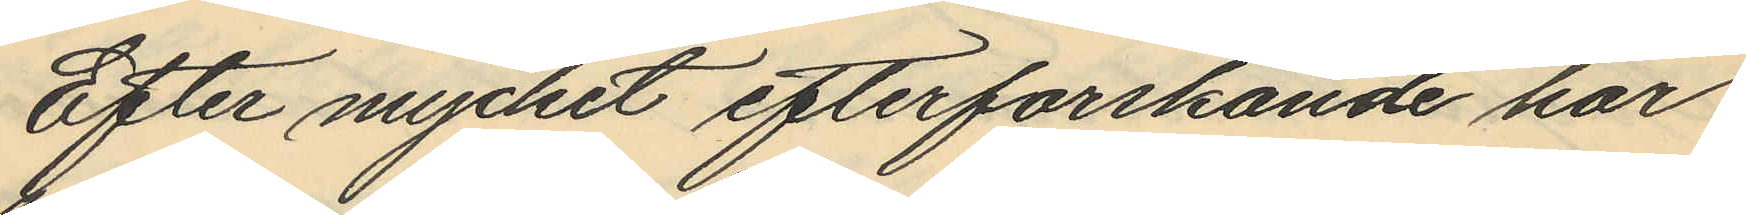Efter mycket efterforskande har
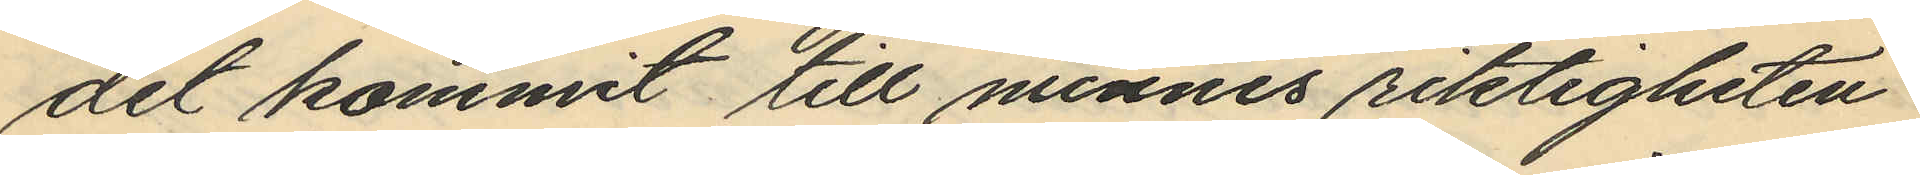det kommit till minnes riktigheten
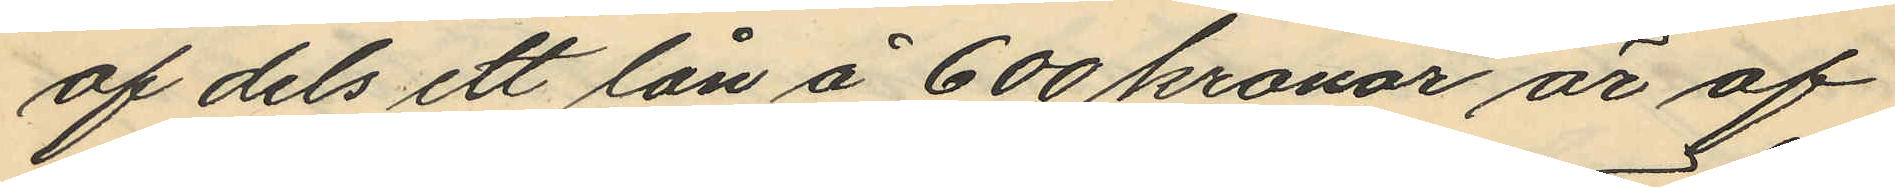af dels ett lån å 600 kronor är af
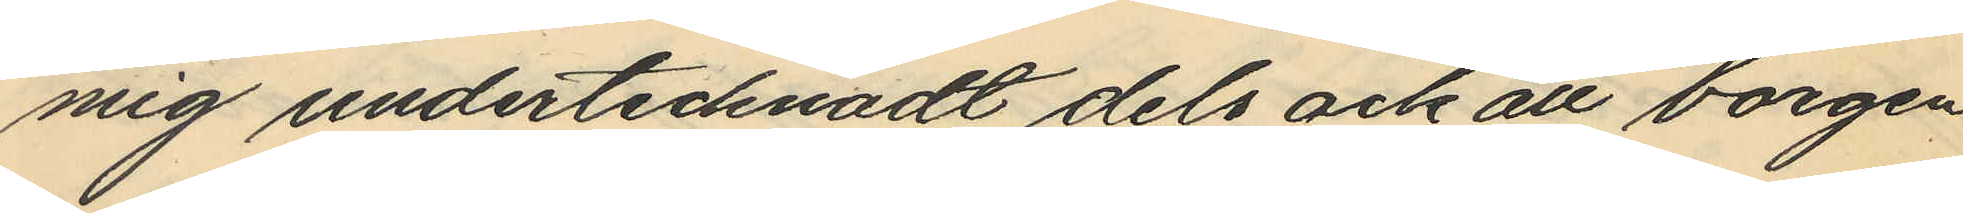mig undertecknadt dels och att borgen
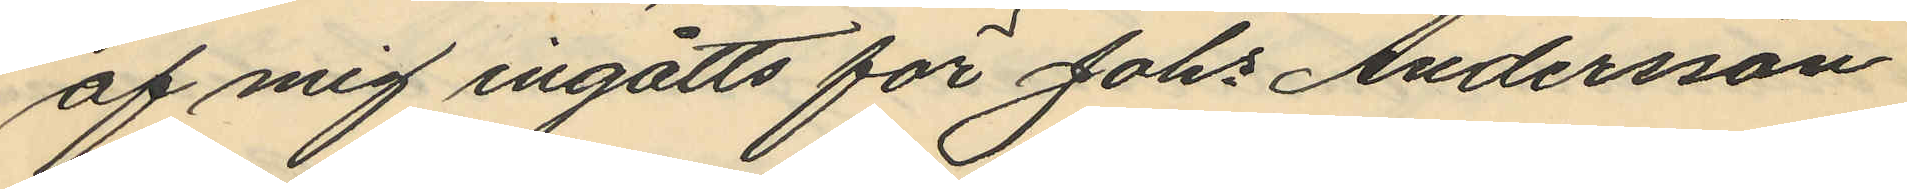af mig ingåtts för Johs Andersson
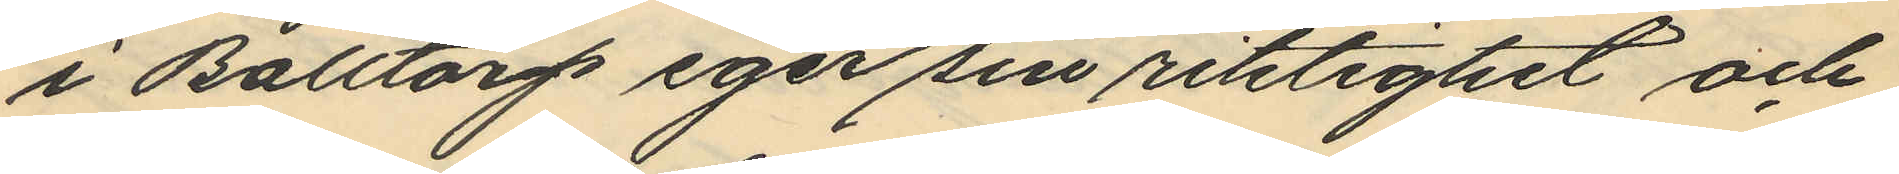i Balltorp eger sin riktighet och
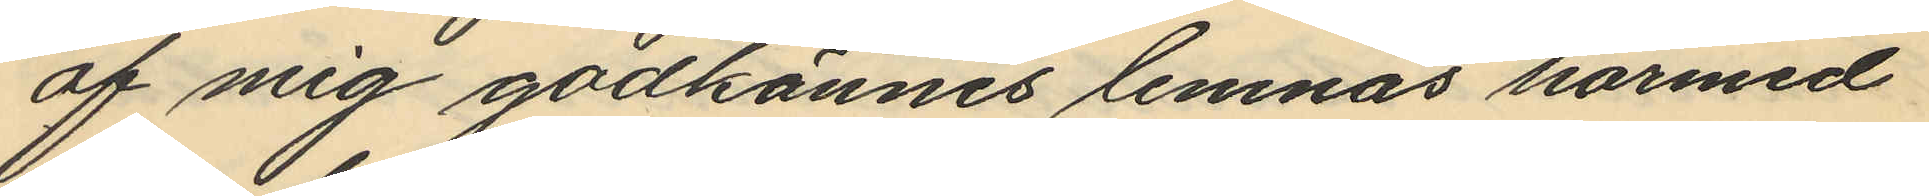af mig godkännes lemnas härmed
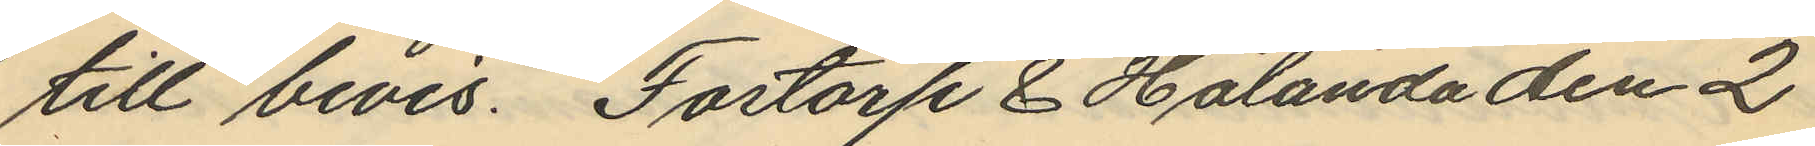till bevis. Fartorp & Hålanda den 2
